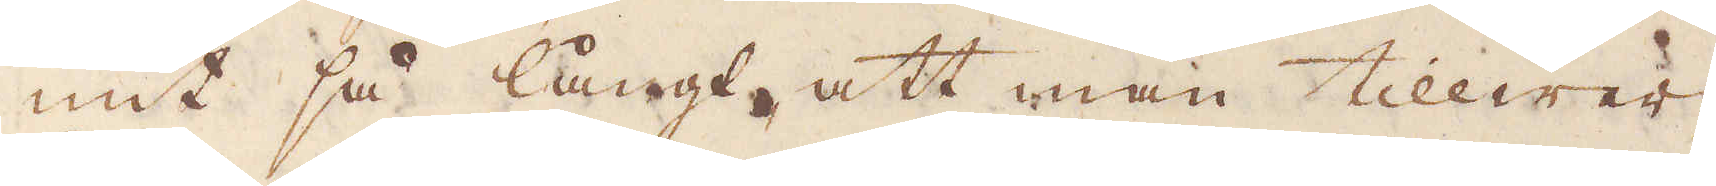mit så långt, att man tillwer-
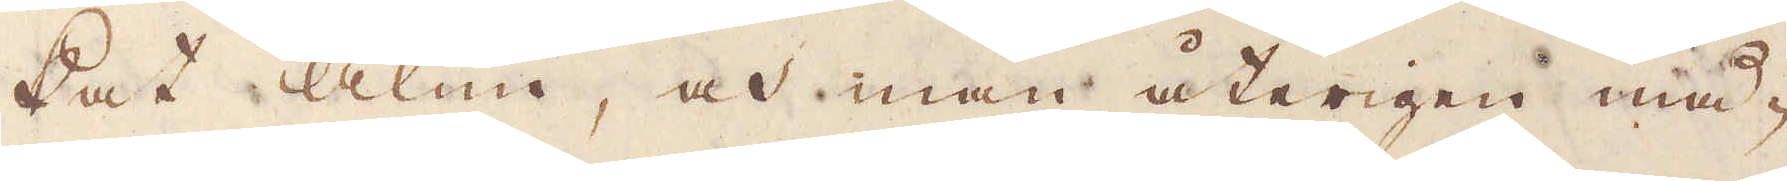kat alun, och man återigen må-
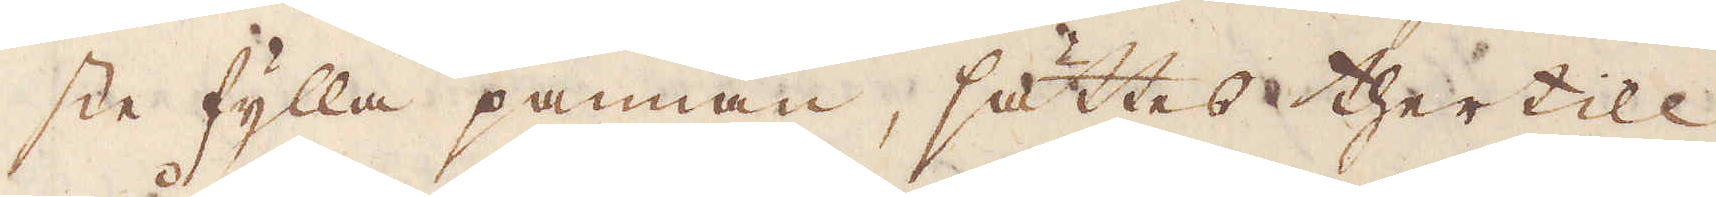ste fylla pannan, sättes thertill
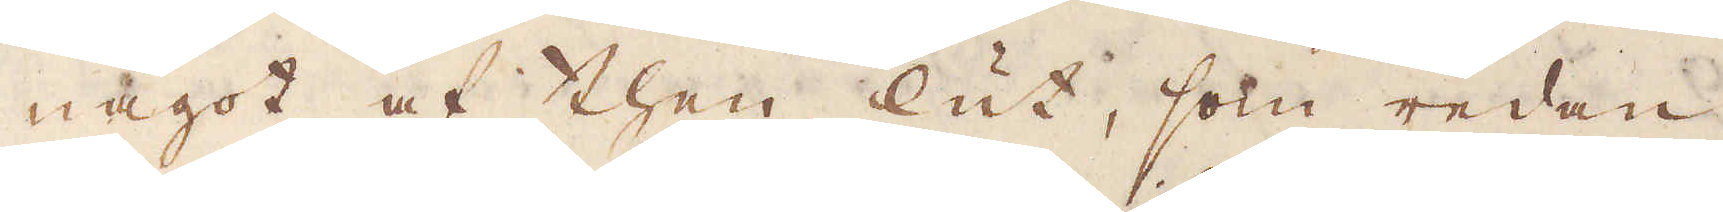något af then lut, som redan
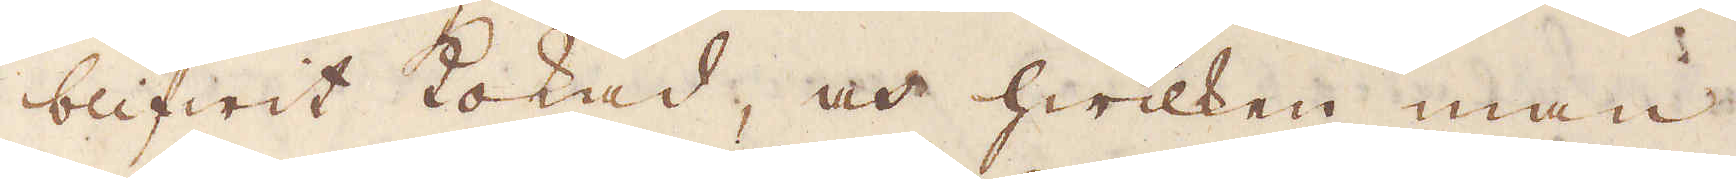blifwit kokad, och hwilken man
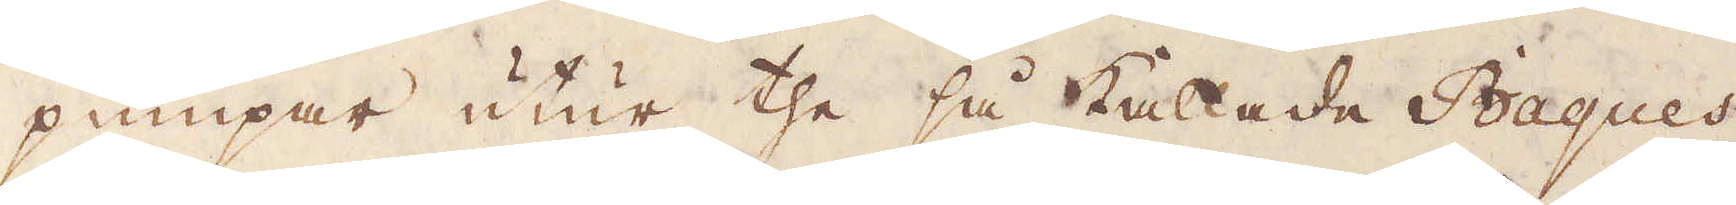pumpar utur the så kallade Bagues
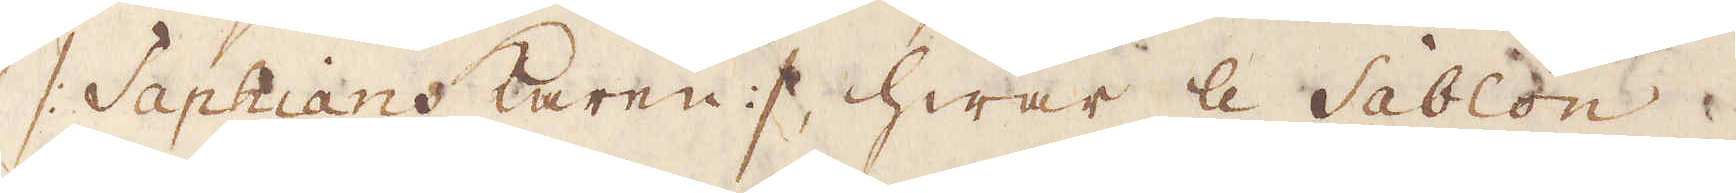/: Saphians karen :/ hwar le Sablon
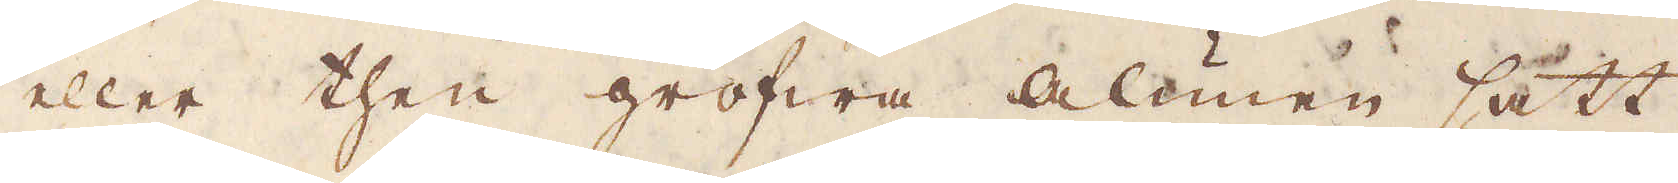eller then grofwa Alunen satt
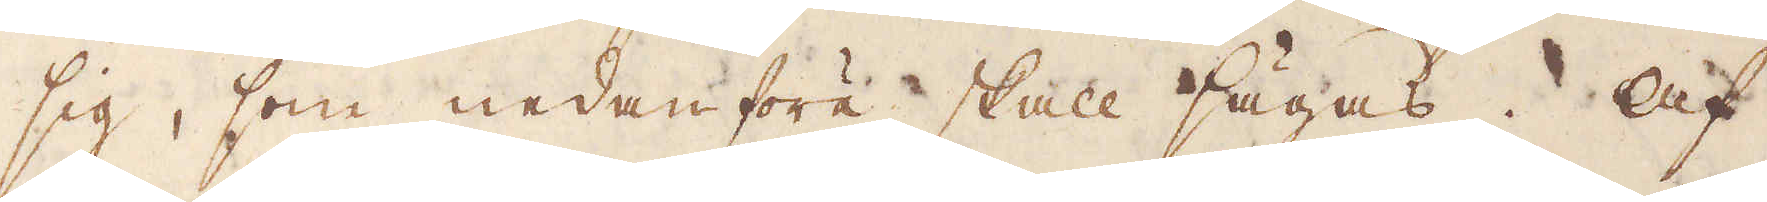sig, som nedanföre skall sägas. Af
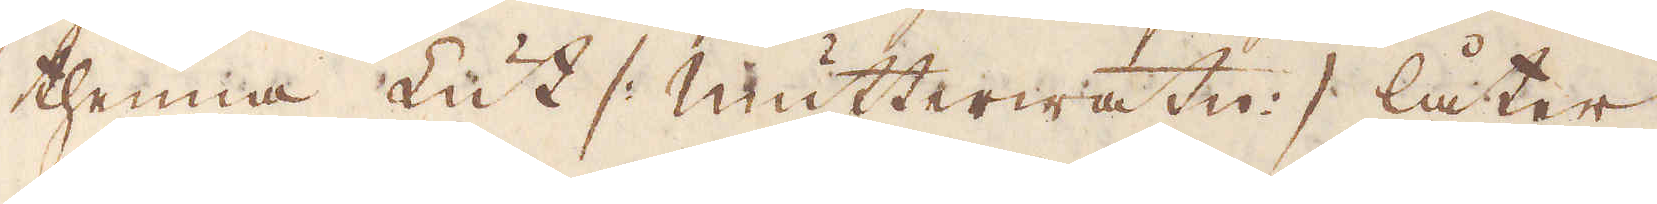thenna Lut /: mutterwatn :/ låter
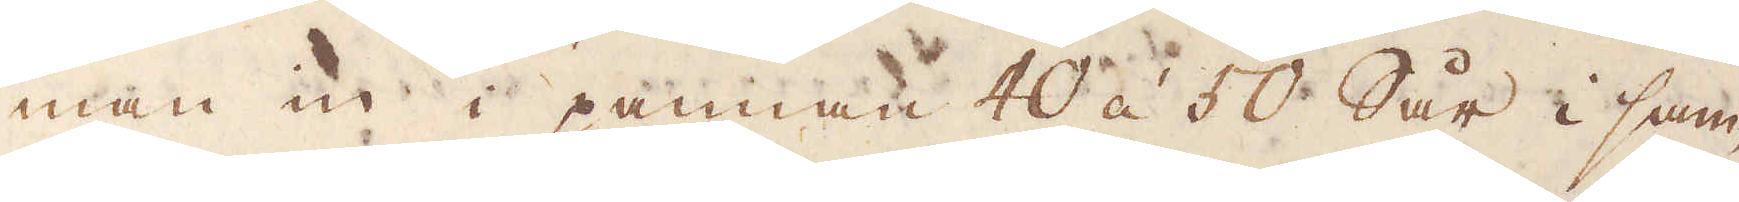man in i pannan 40 á 50 Sår i sam-
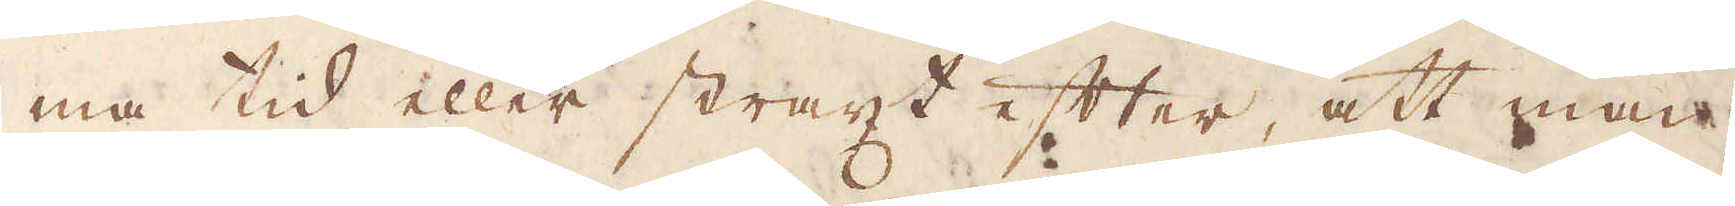ma tid eller straxt efter, att man
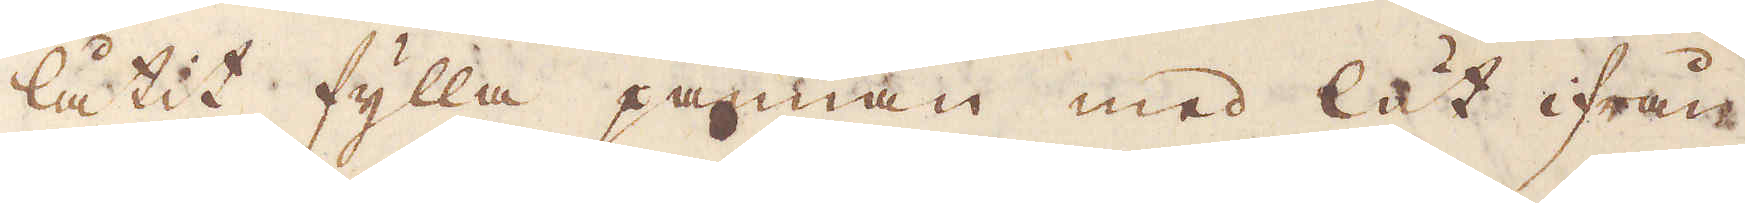låtit fylla pannan med lut ifrån
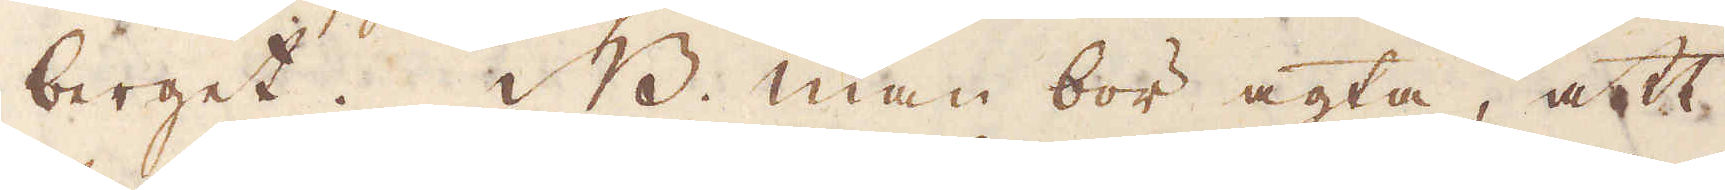berget. NB. Man bör agta, att
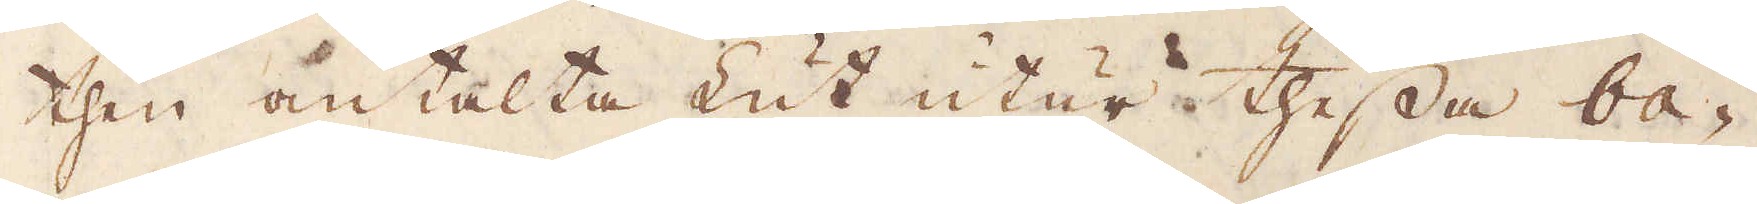then omtalta Lut utur thessa ba-
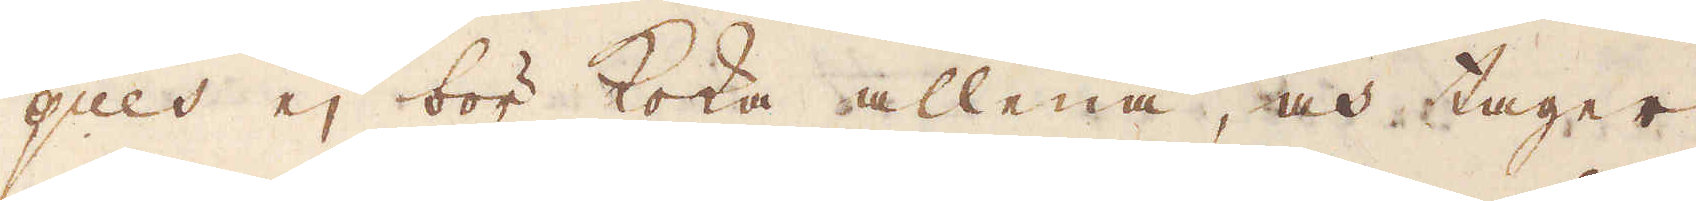gues ej bör koka allena, och tager
